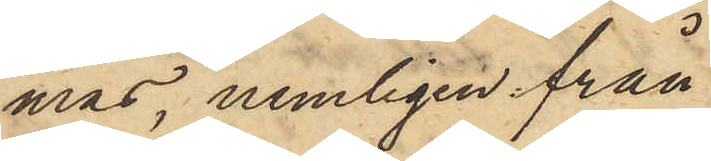mas, nemligen från
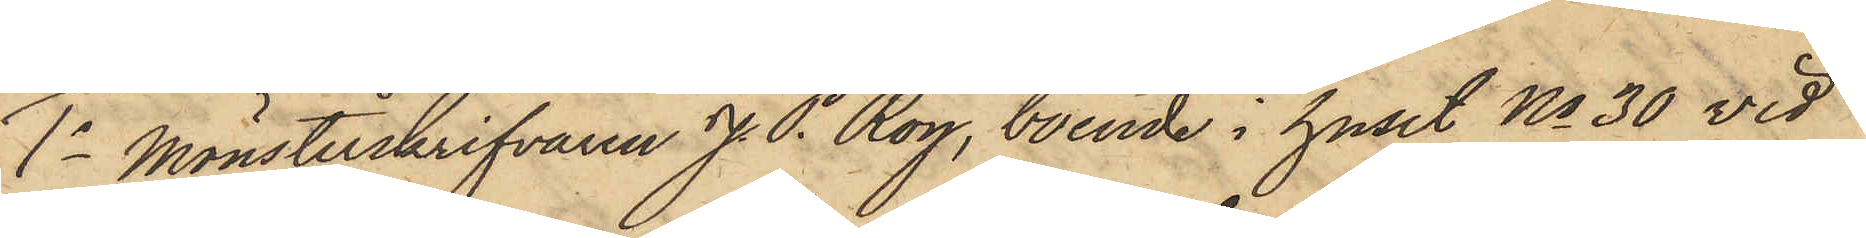1o Mönsterskrifvaren J. P. Roy, boende i huset No 30 vid
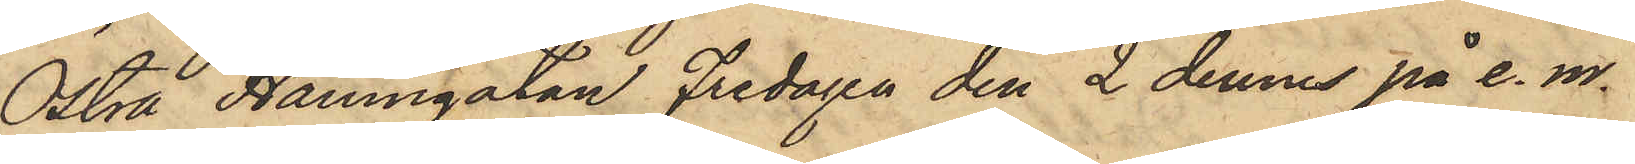Östra Hamngatan Fredagen den 2 dennes på e. m.
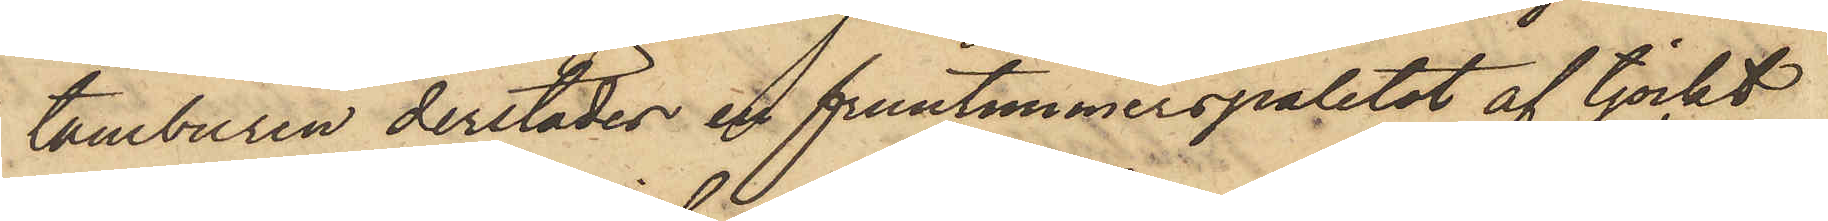i tamburen derstädes en fruntimmerspaletot af tjockt
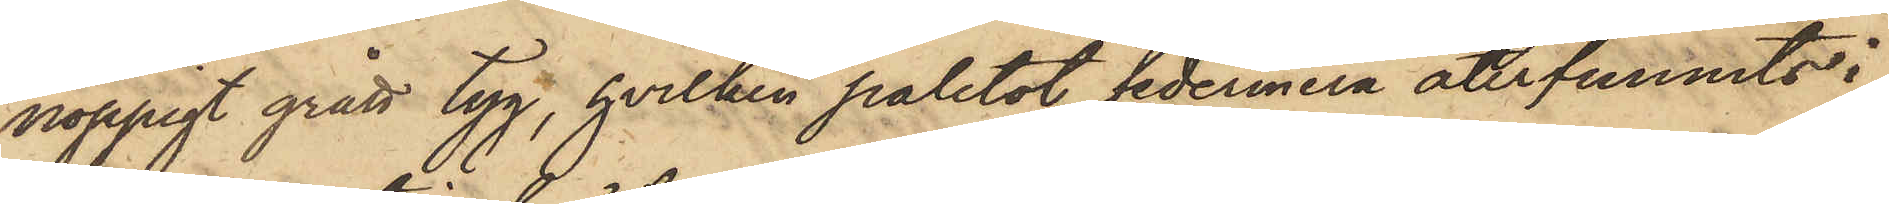noppigt grått tyg, hvilken paletot sedermera återfunnits i
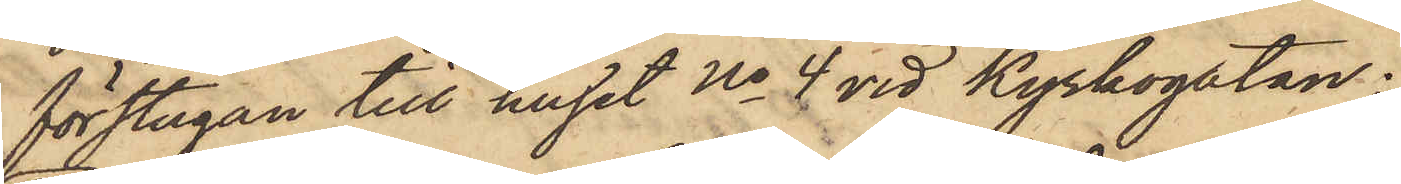förstugan till huset No 4 vid Kyrkogatan;
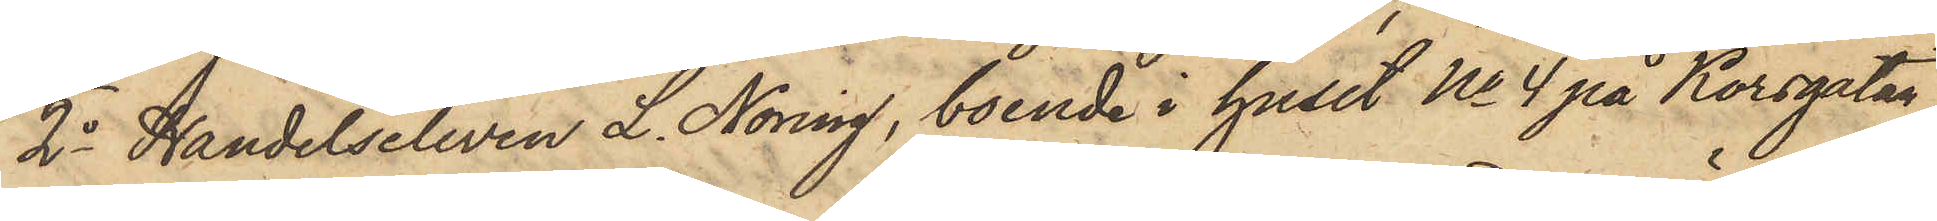2o Handelseleven L. Noring, boende i huset No 4 på Korsgatan,
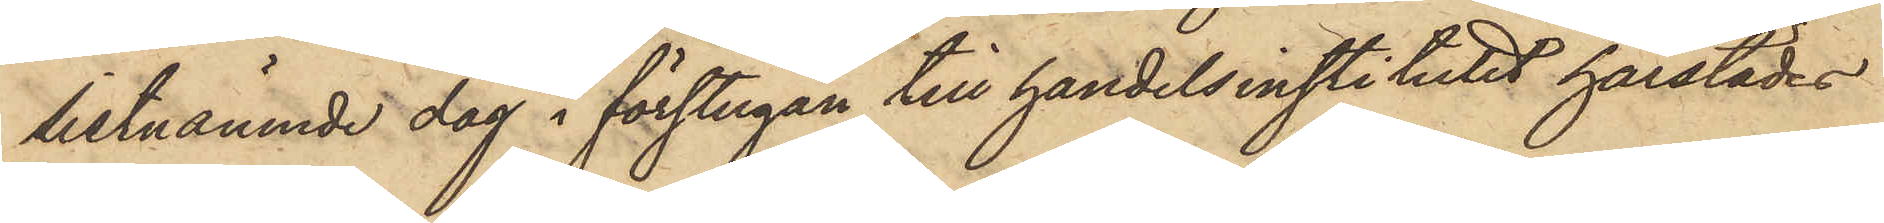sistnämnde dag i förstugan till handelsinstitutets härstädes
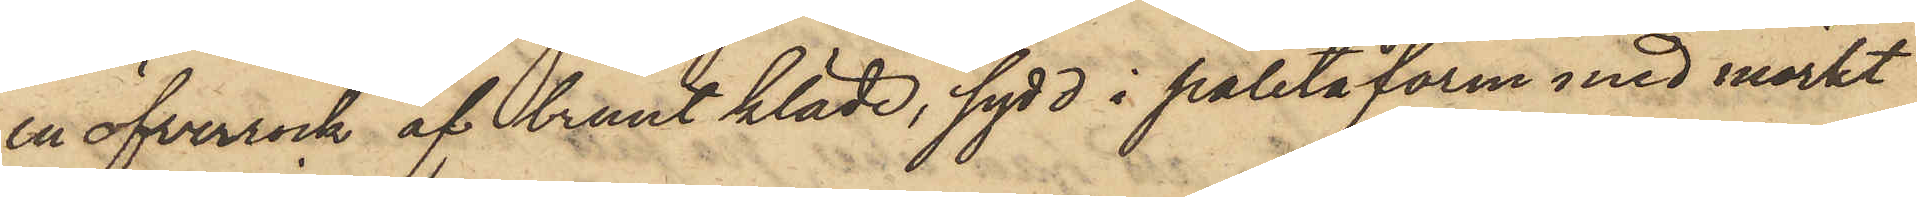en öfverrock af brunt kläde, sydd i paletåform med mörkt
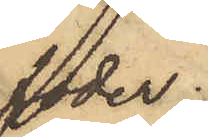foder.
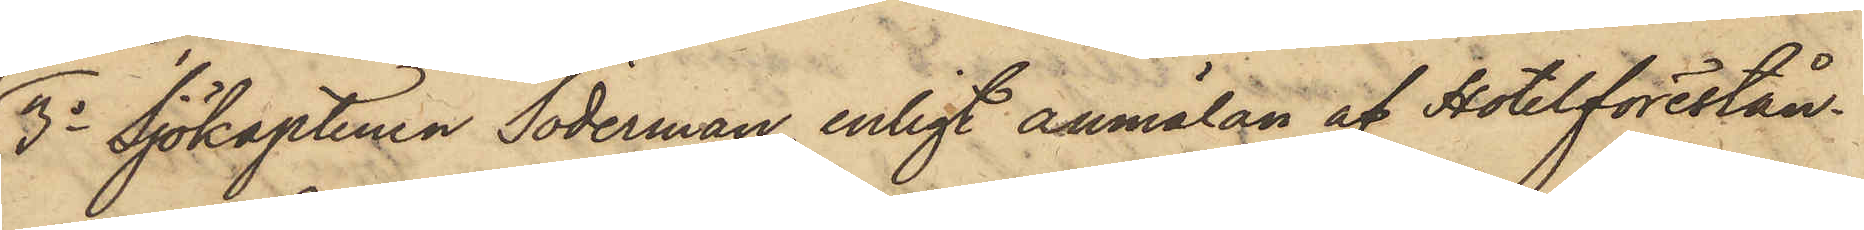3o Sjökaptenen Söderman, enligt anmälan af Hotelförestån¬
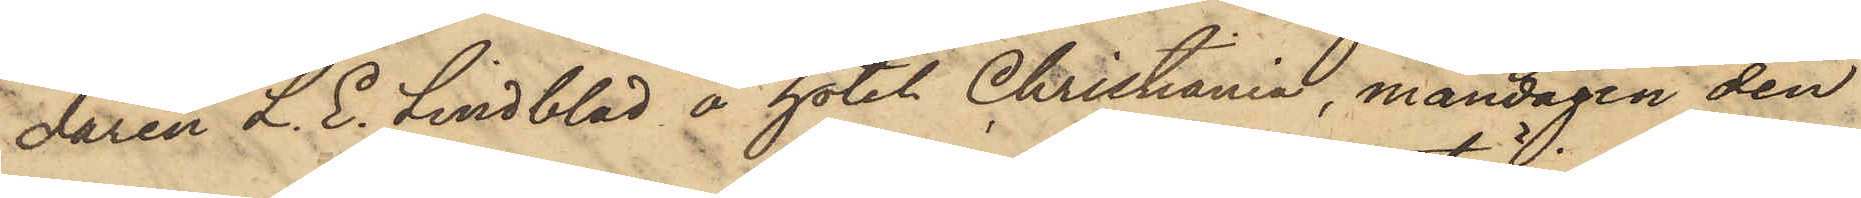daren L. E. Lindblad å hotel Christiania, måndagen den
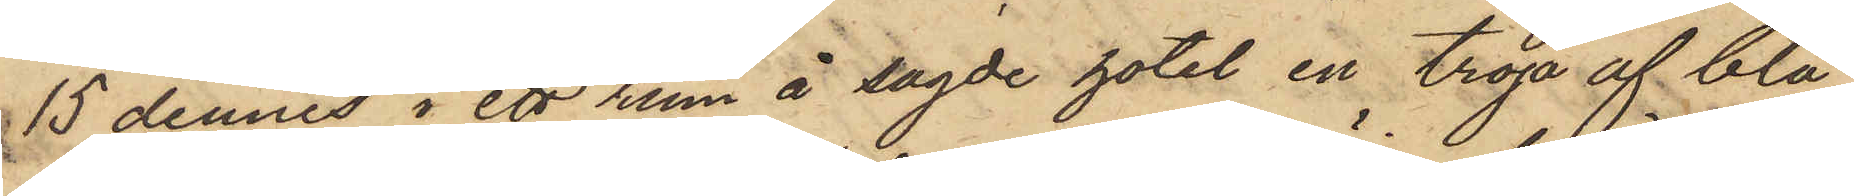15 dennes i ett rum å sagde hotel en tröja af blå
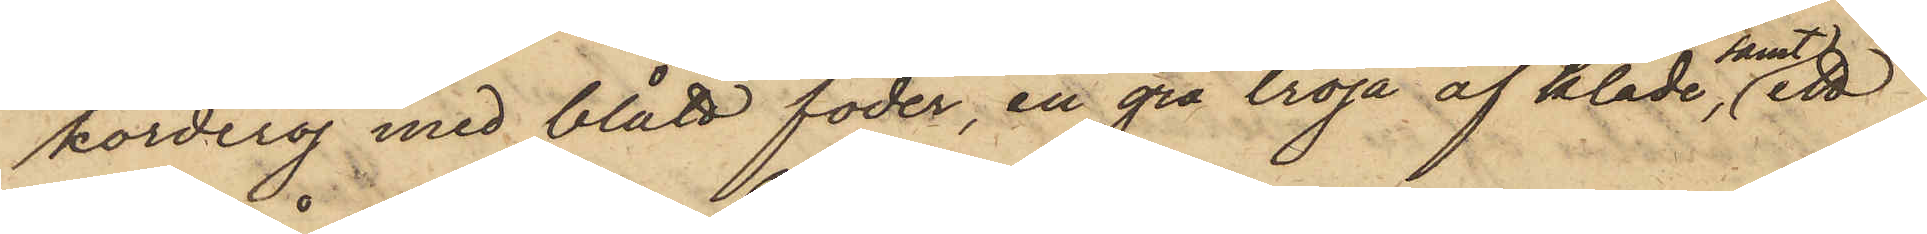korderoj med blått foder, en grå tröja af kläde,samt ett
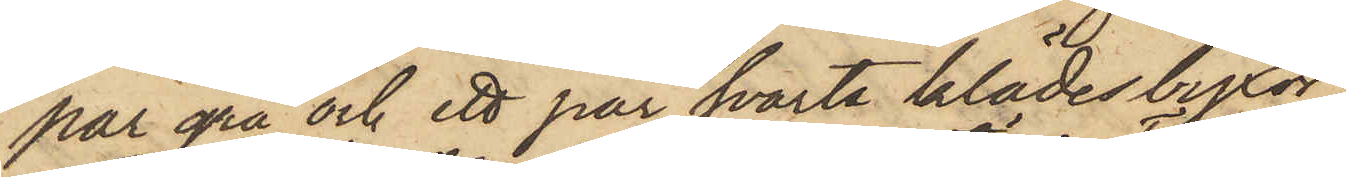par grå och ett par svarta klädesbyxor.
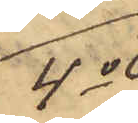4o
